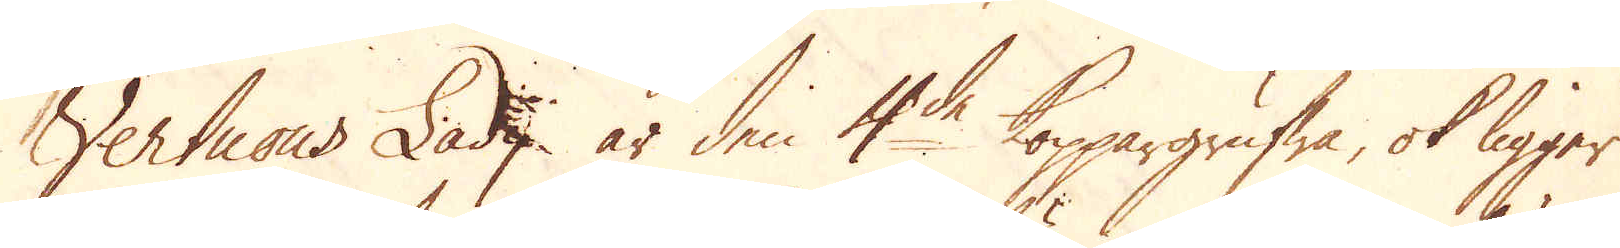Vertuous Lady är den 4de Koppargrufwa, ok ligger
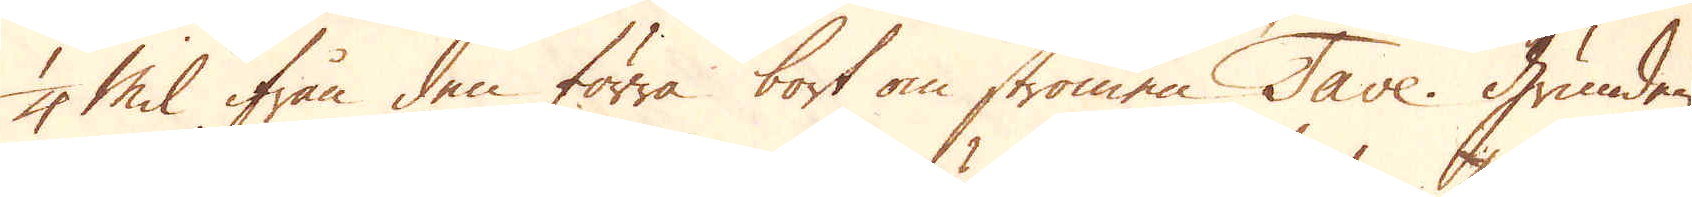1/4 Mil ifrån den förra bort om strömen Tave. Grunden,
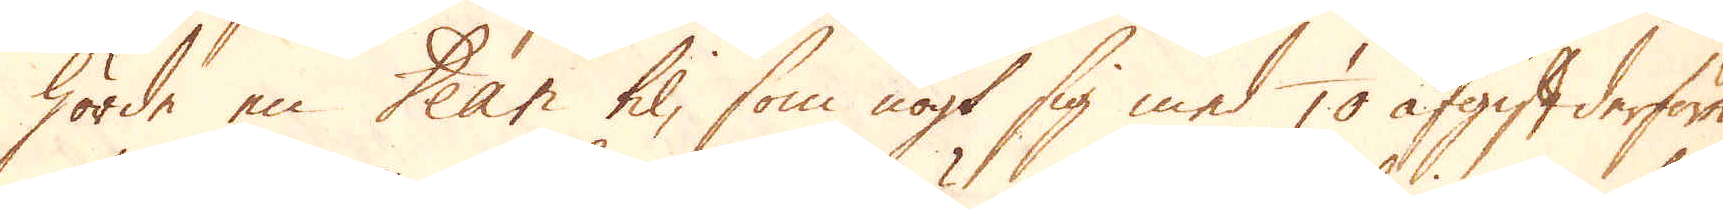hörde en Dean til, som nögt sig med 1/10 afgift derföre.
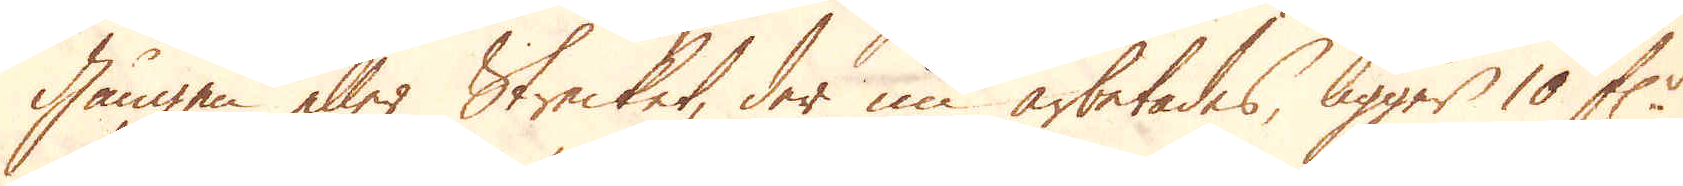Gången eller Strecket, der nu arbetades, ligger 10 f:r
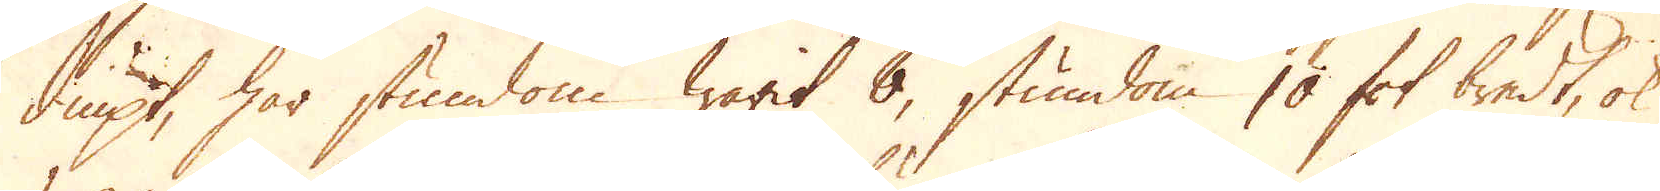diupt, har stundom warit 8, stundom 10 fot bredt, ok
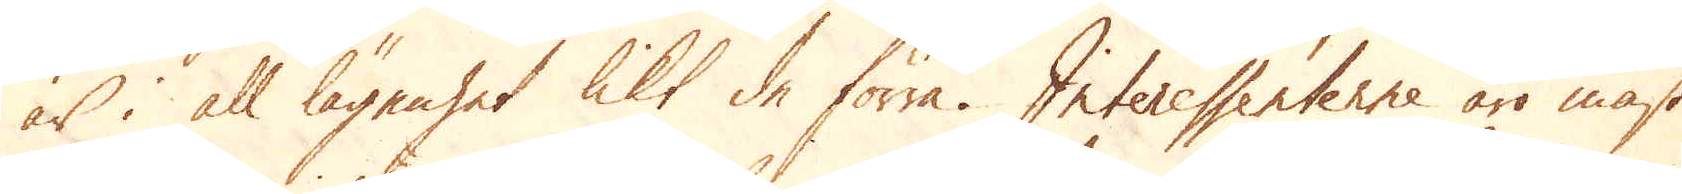är i all lägenhet likt de förra. Interessenterne äro mäst
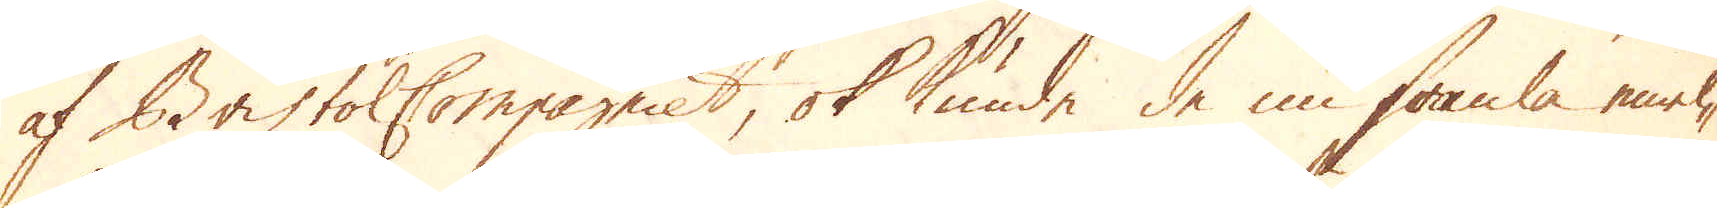af Bristol Compagniet, ok kunde de nu samla emel-
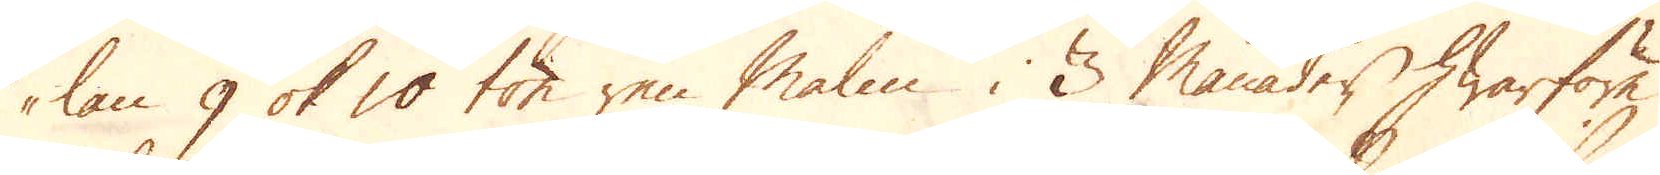lan 9 ok 10 ton ren Malm i 3 månader hwarföre
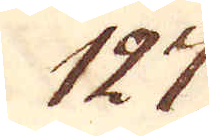127.
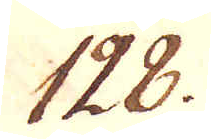128.
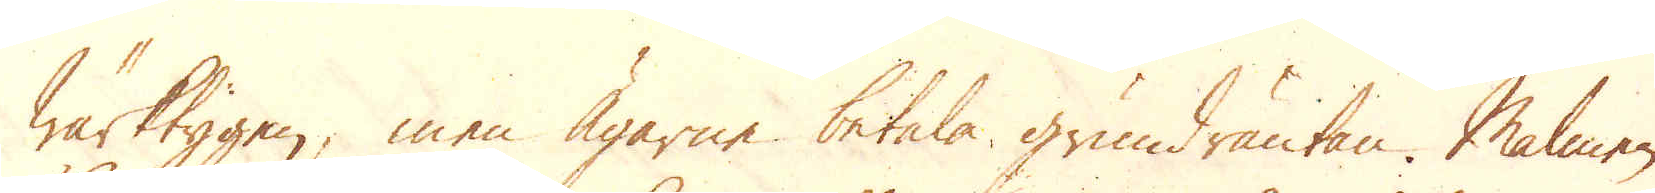wärktygen, men Ägarne betala grundräntan. Malmen
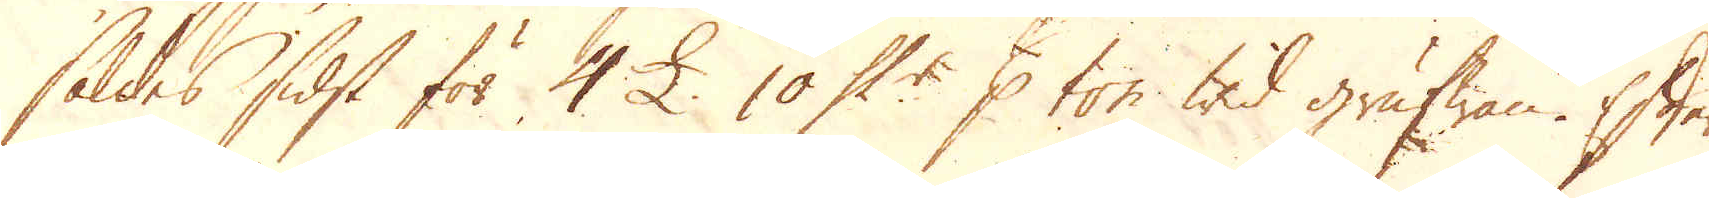såldes sidst för 4 £. 10 Sk:r p ton wid grufwan. Efter
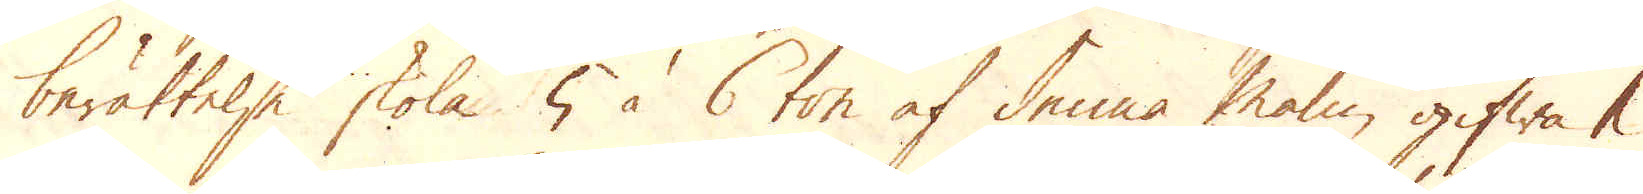berättelse skola 5 à 6 ton af denna malm gifwa 1
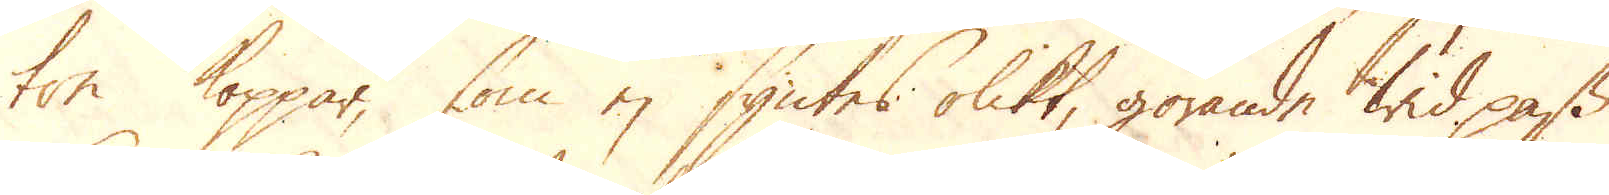ton koppar, som ej syntes olikt, görande wid pass
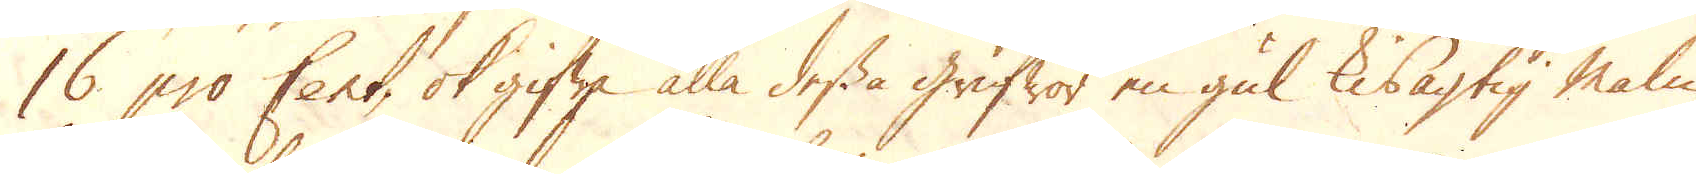16 pro Cent, ok gifwa alla dessa grufwor en gul kisagtig Malm.
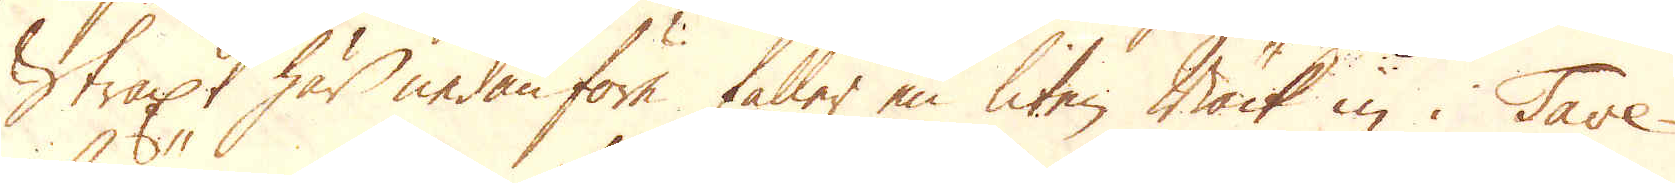Straxt här nedanföre faller en liten Bäck in i Tave-
